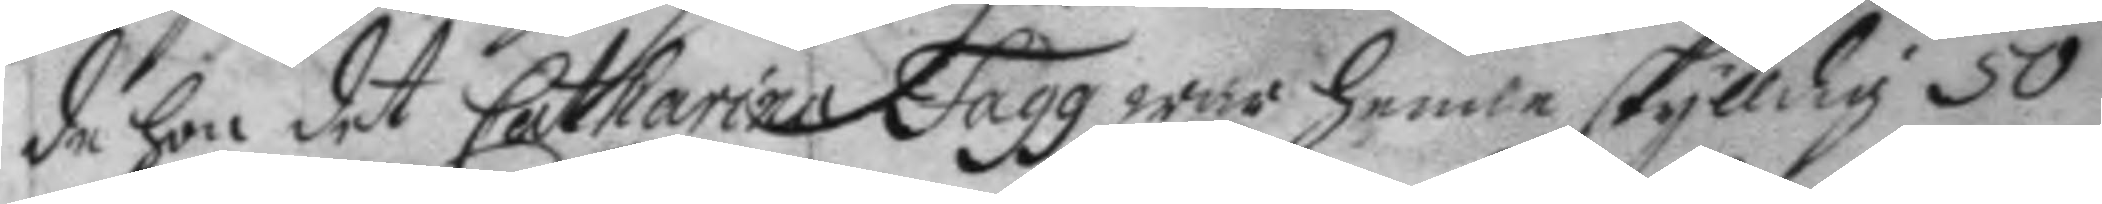de hon det Catharina Fagg war henne skylldig 50,
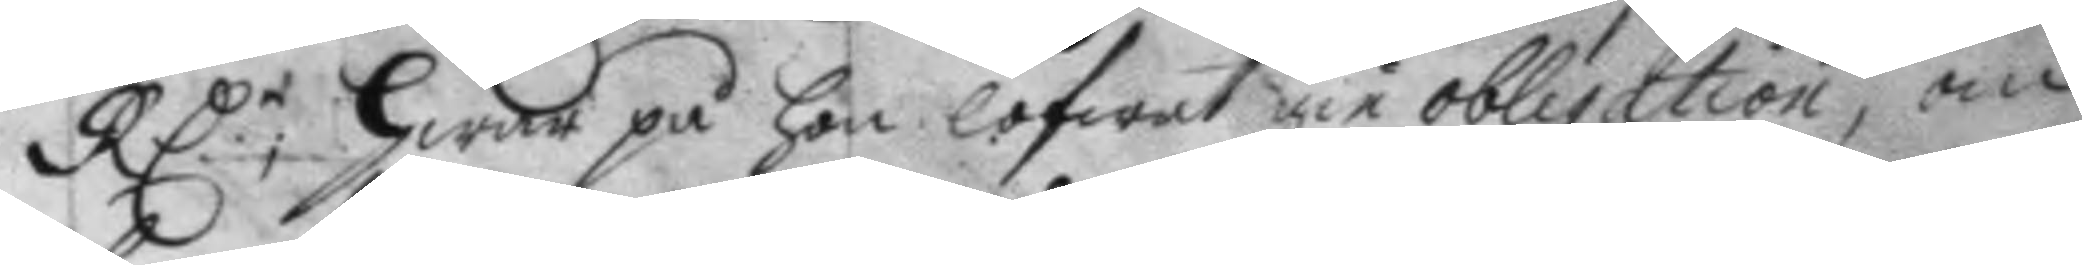RD.r: Hwar på hon lofwat gie obligation, om 
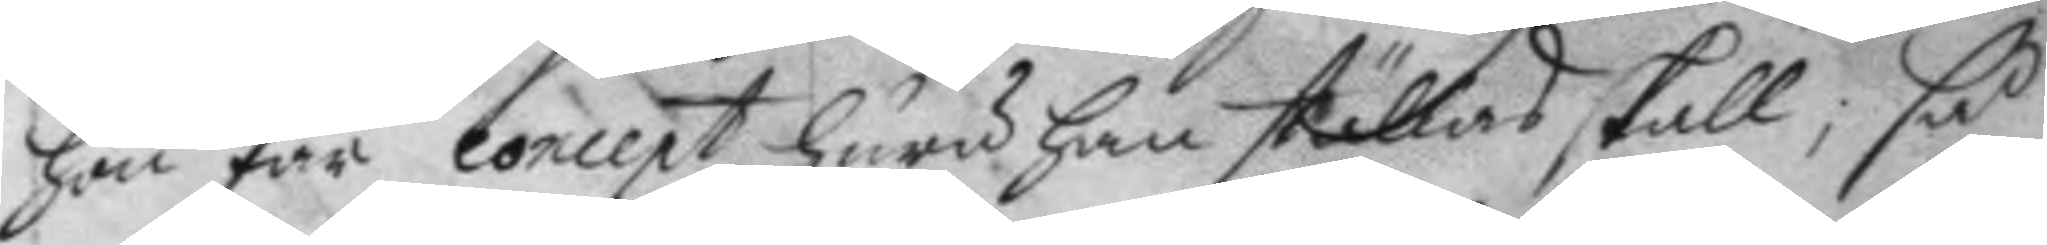hon får concept huru han ställes skall; så
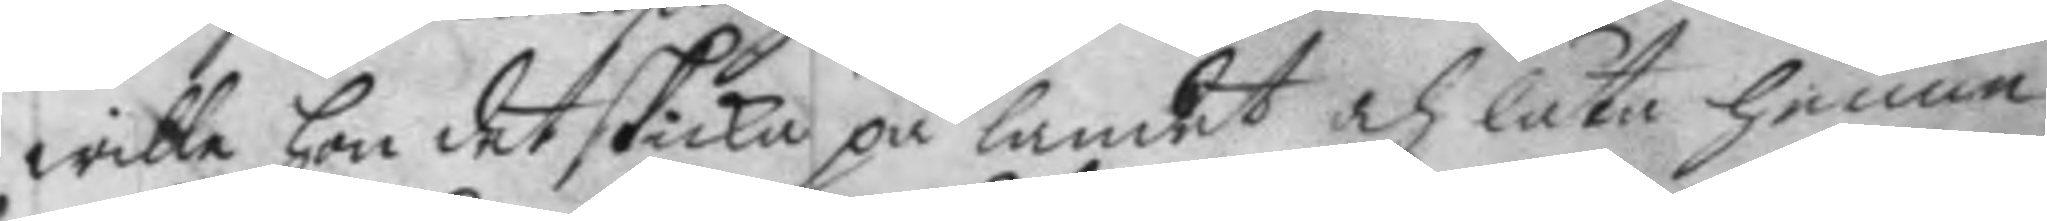wille hon det skicka på landet och låta henne
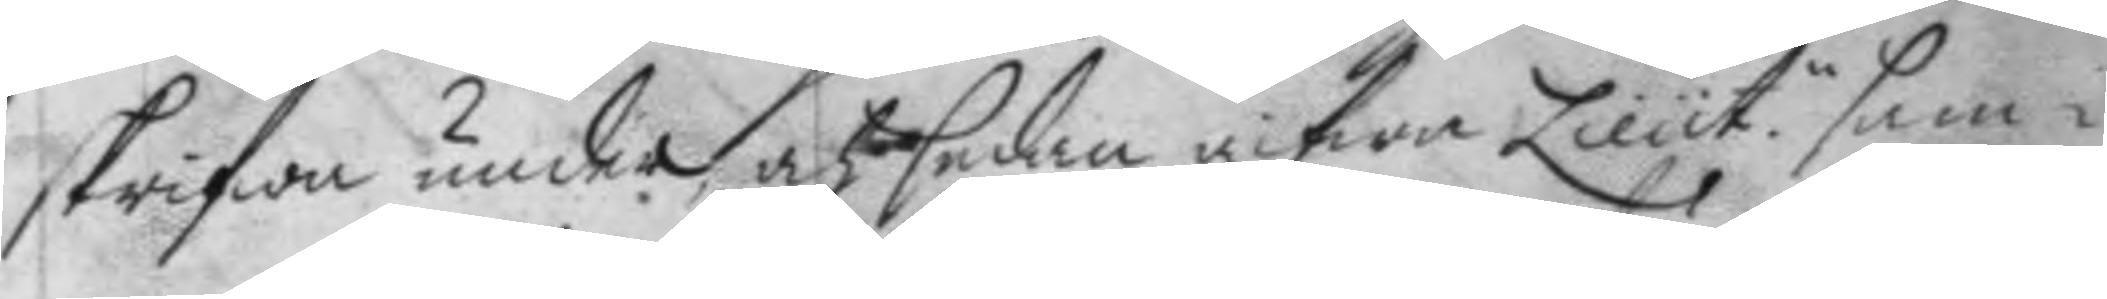skrifwa under, och sedan gifwa Lieut.n sam¬
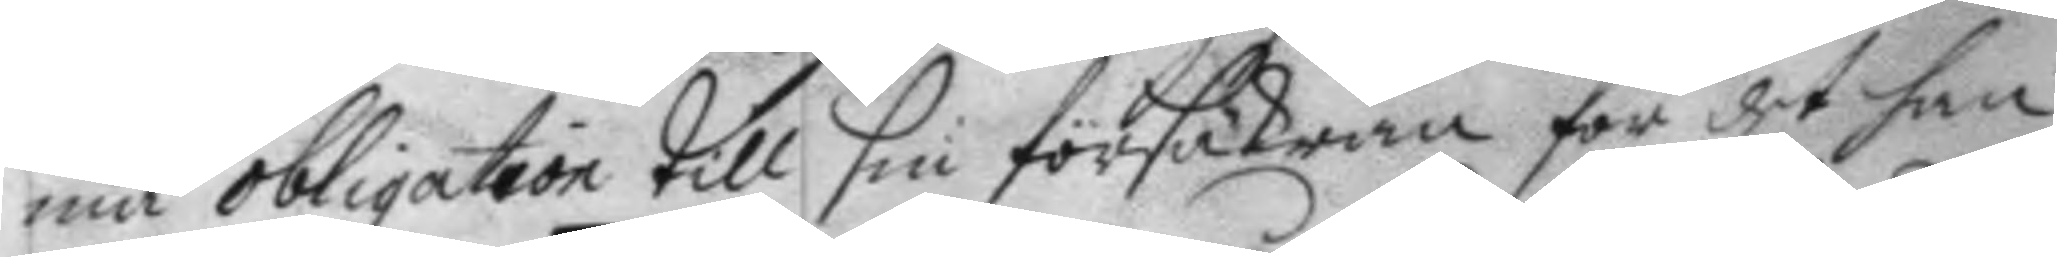ma obligation till sin försäkran för det han
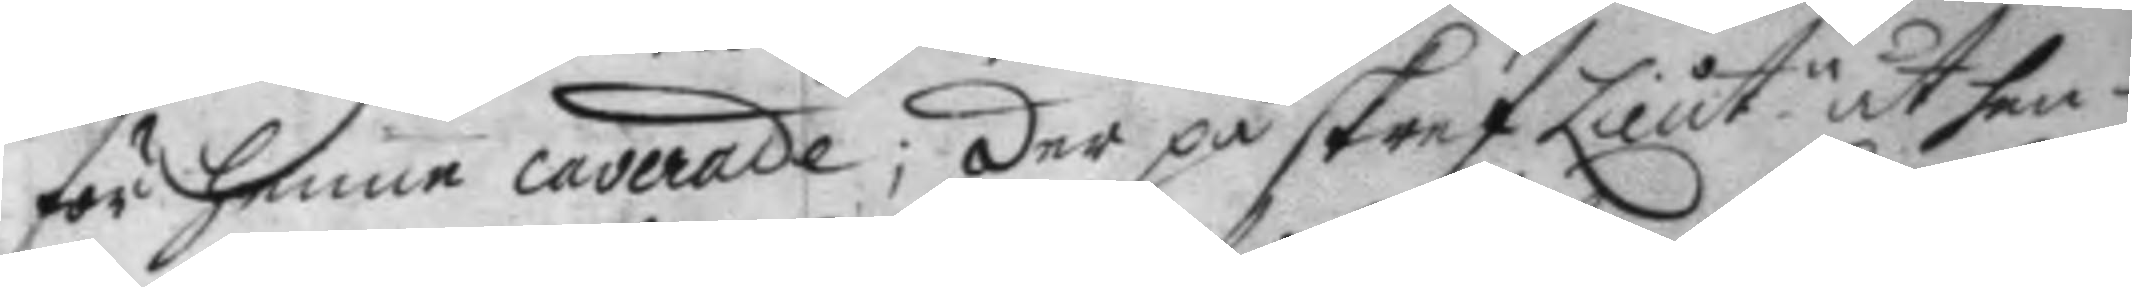för henne caverade; der på skref Lieut.n åt hen¬
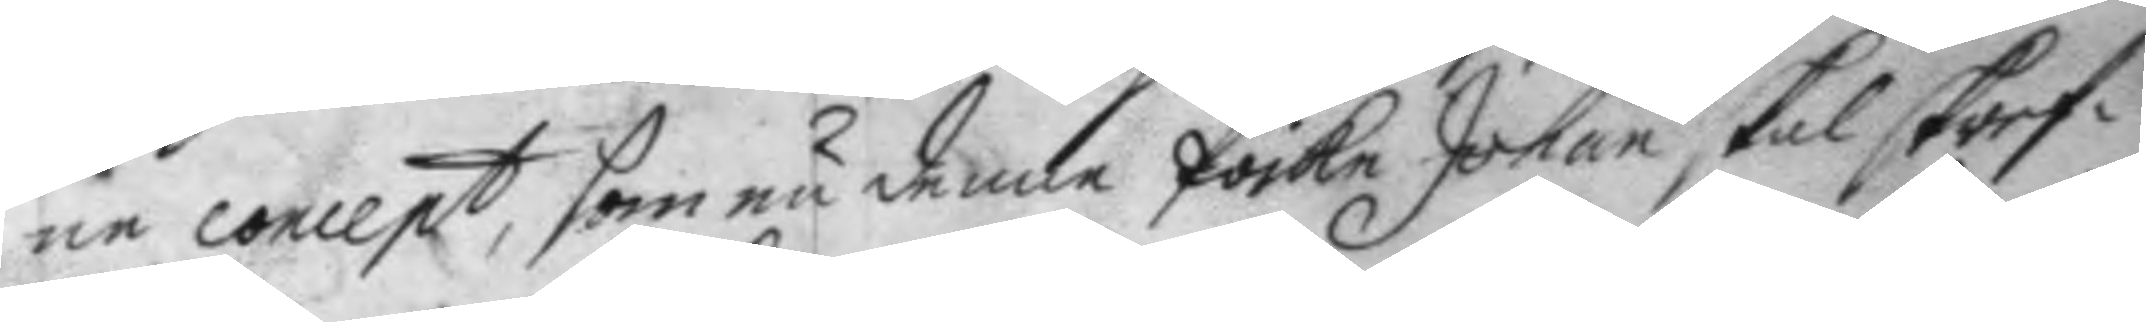ne concept, som nu denne Poike Johan skal skref¬
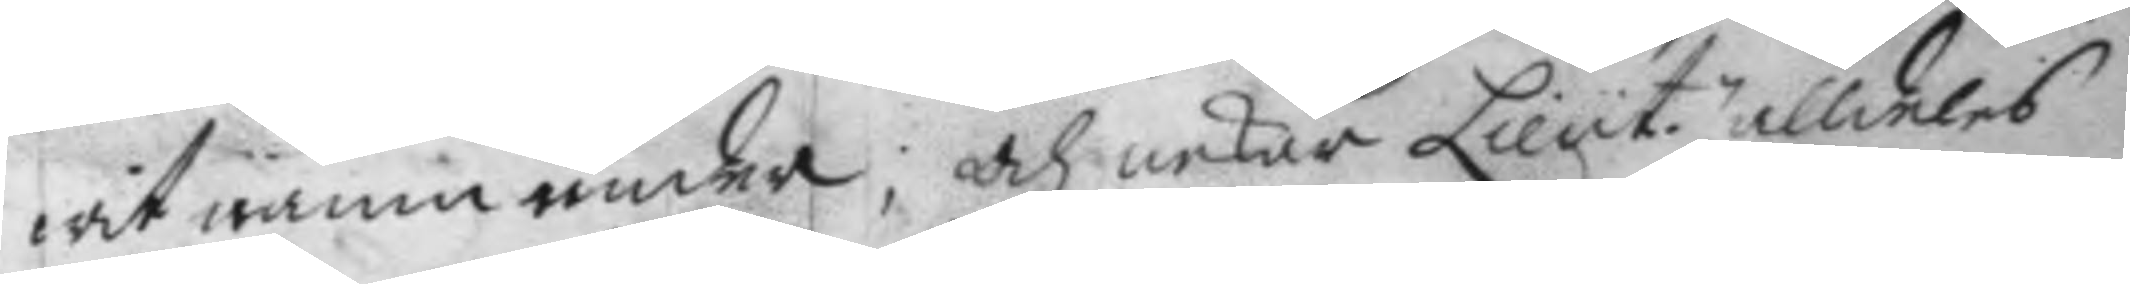wit namn under; Och nekar Lieut.n alldeles
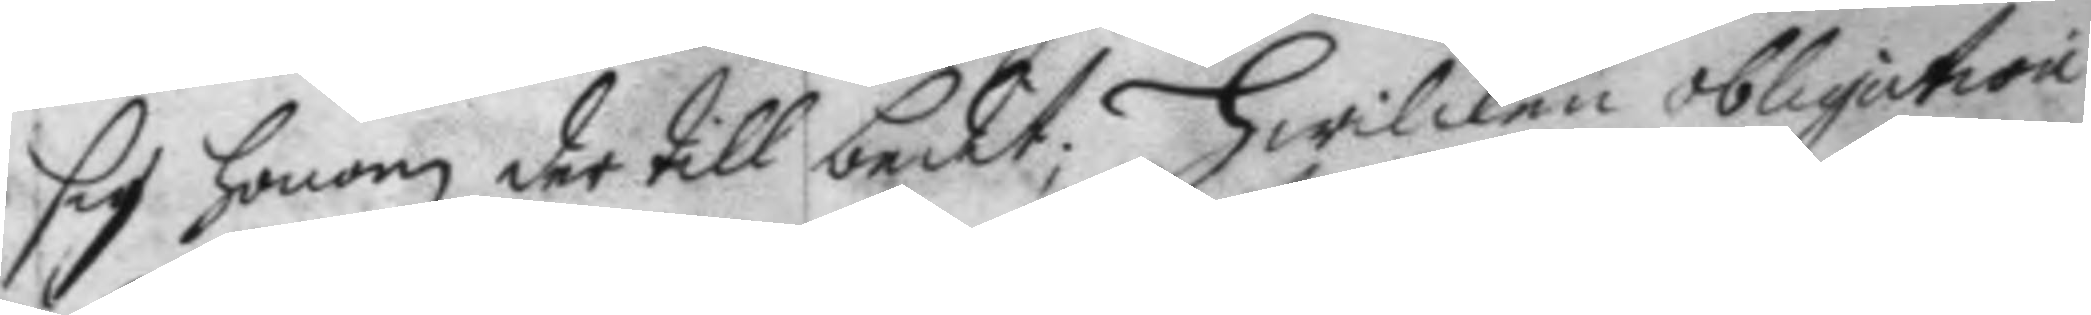sig honom der till bedit; Hwilken obligation
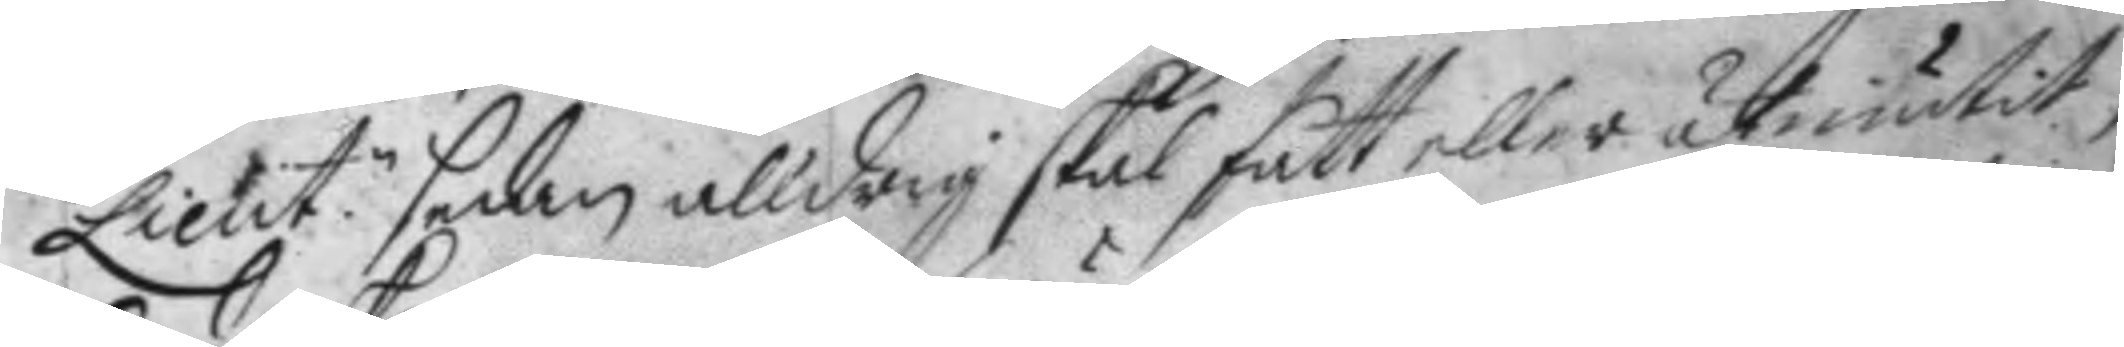Lieut.n sedan alldrig skal fått eller åtniutit,
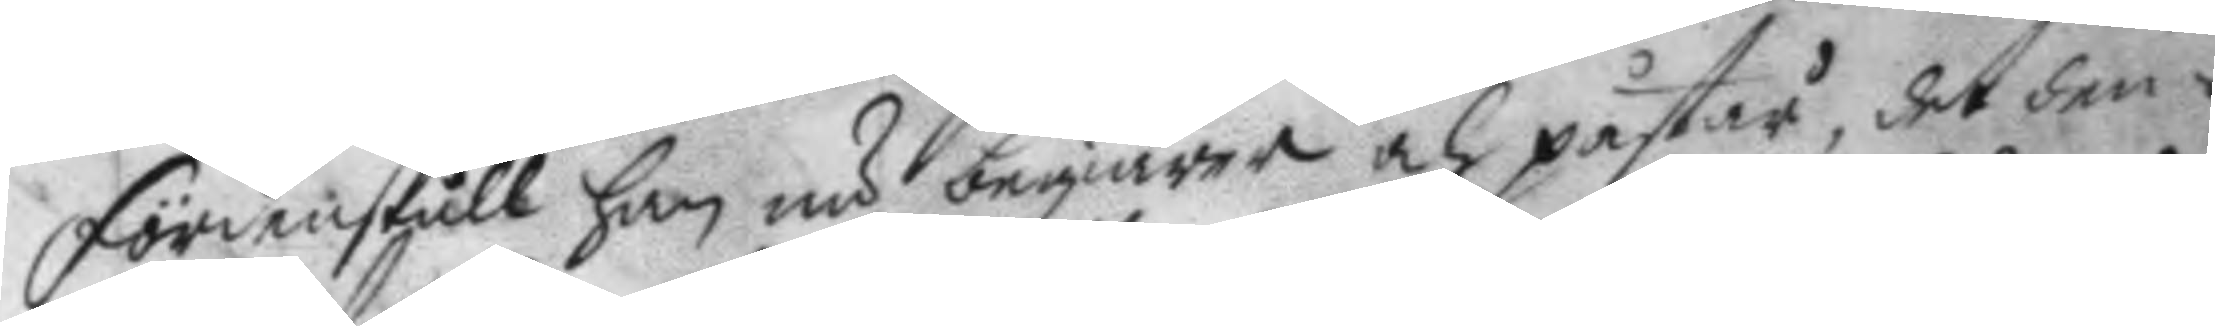fördenskull han nu begiärer och påstår, det den¬
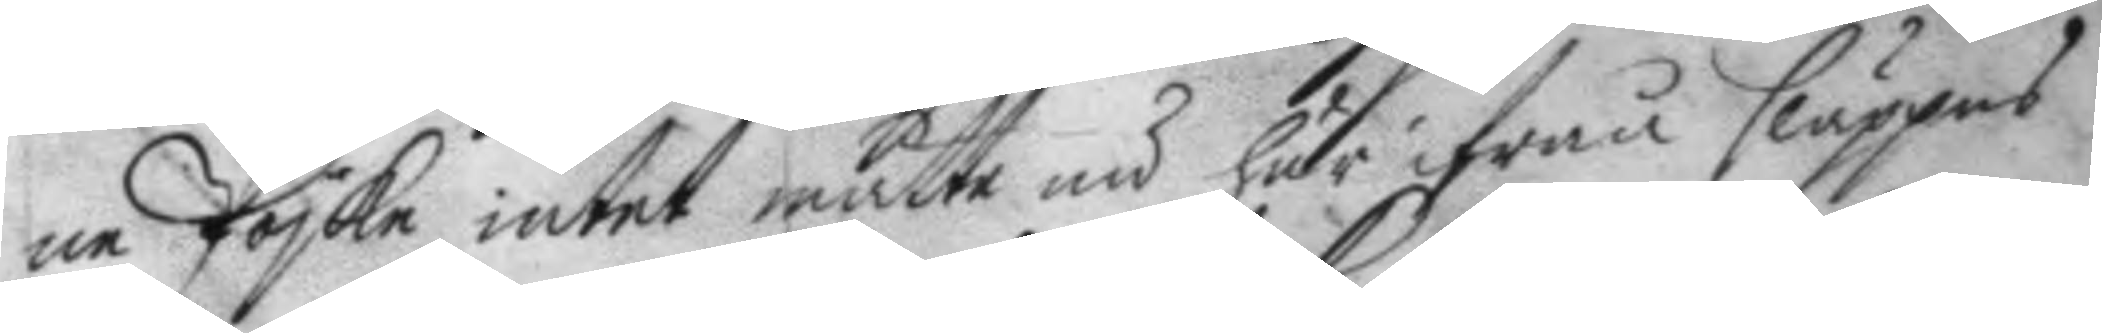ne Poike intet måtte nu här ifrån släppes
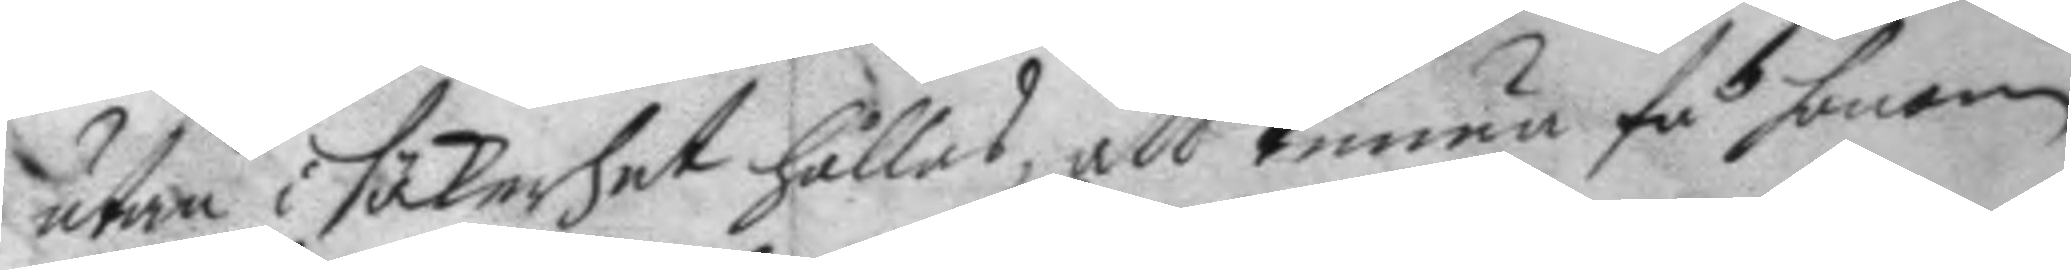utan i säkerhet hålles, att kunna få honom
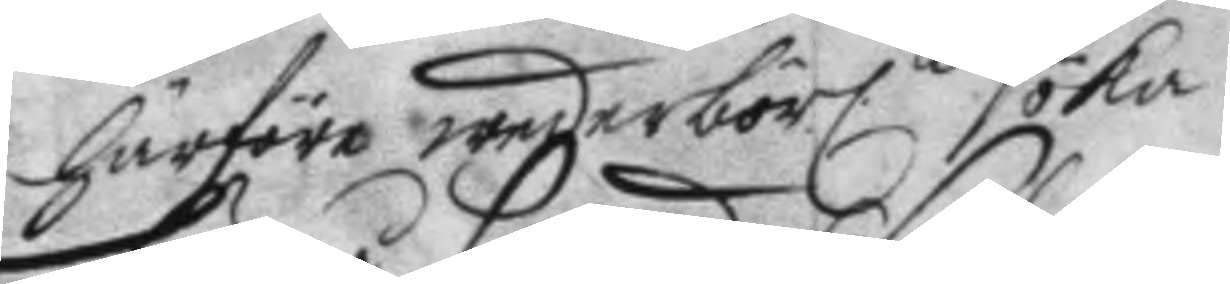härföre wederbörl.n söka. 
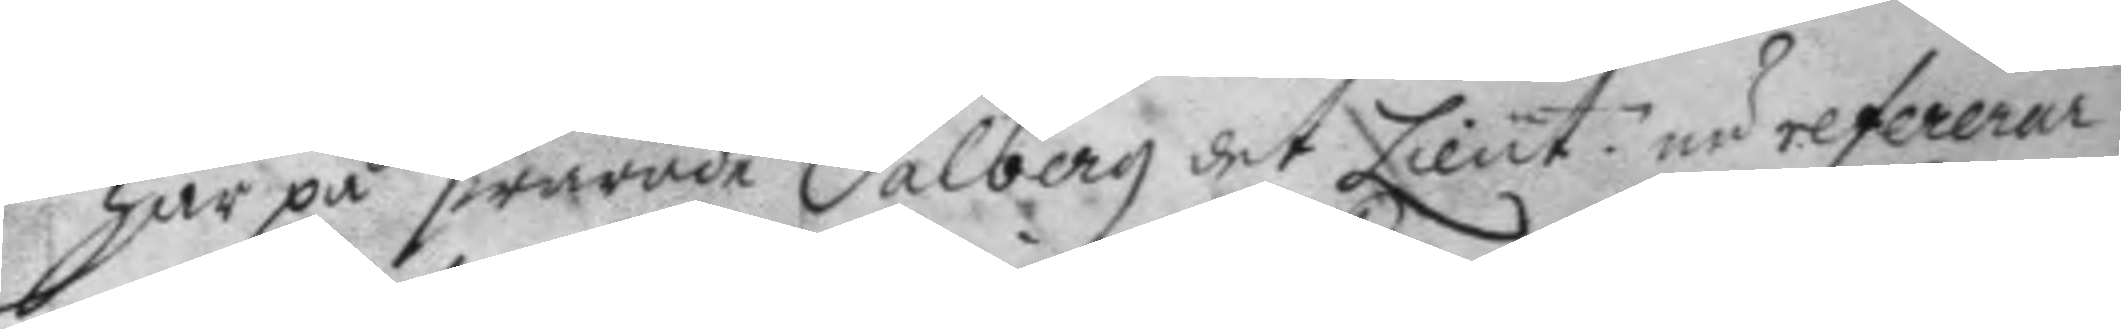här på swarade Salberg det Lieut: nu refererar
